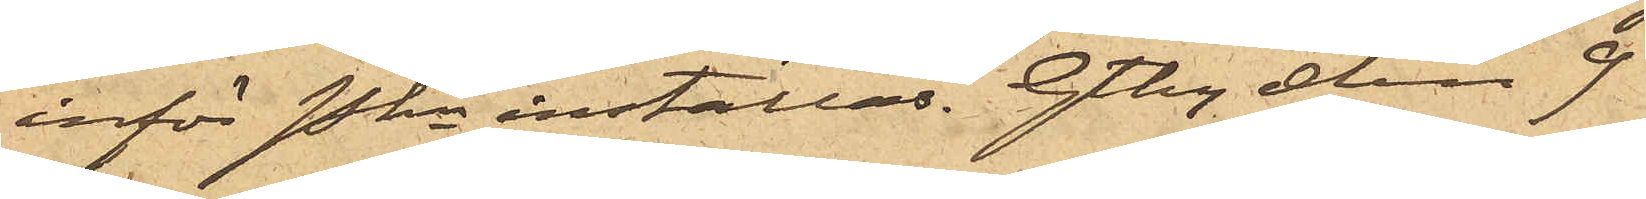inför Pkn inställas. Gtbg den 9
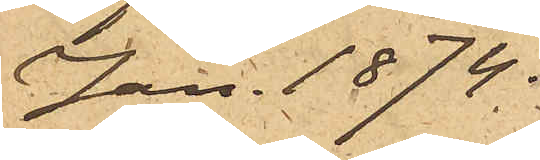Jan. 1874.
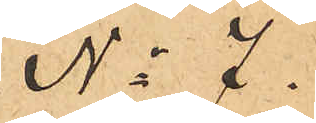No 7.
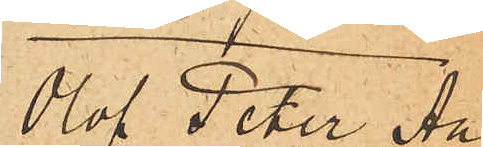Olof Peter An¬
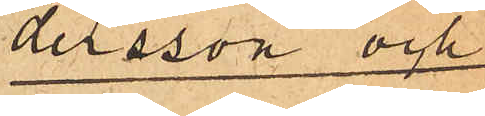dersson och
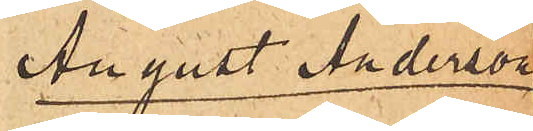August Anderson
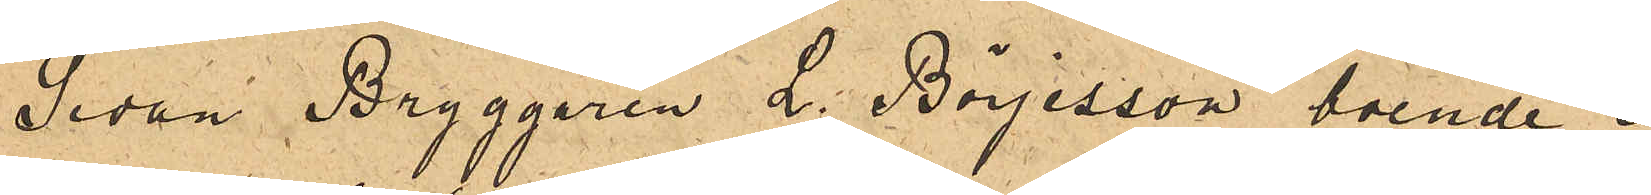Sedan Bryggaren L. Börjesson boende i
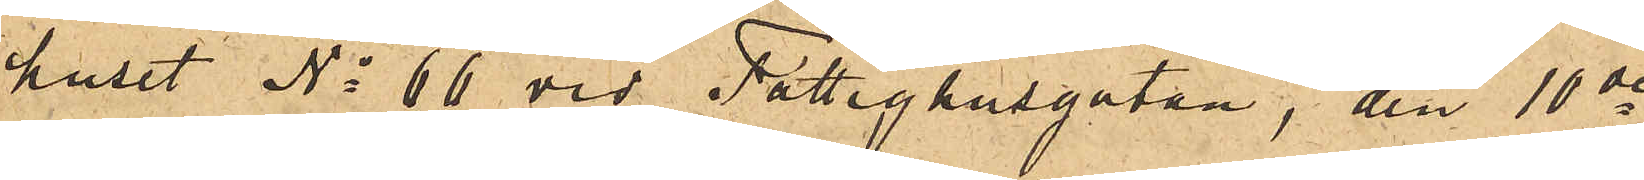huset No 66 vid Fattighusgatan, den 10de
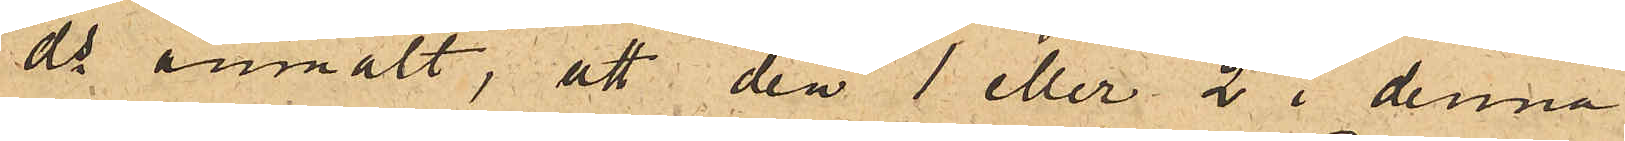ds anmält, att den 1 eller 2 i denna
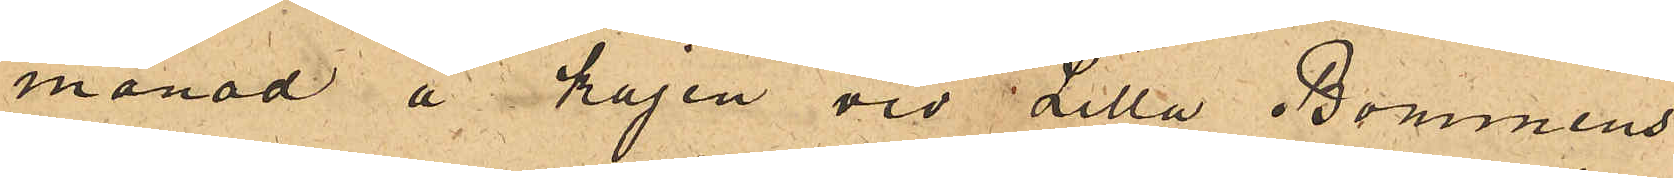månad å kajen vid Lilla Bommens
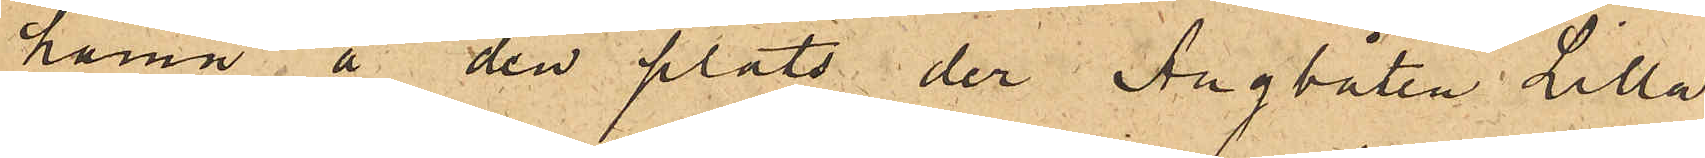hamn å den plats der Ångbåten Lilla
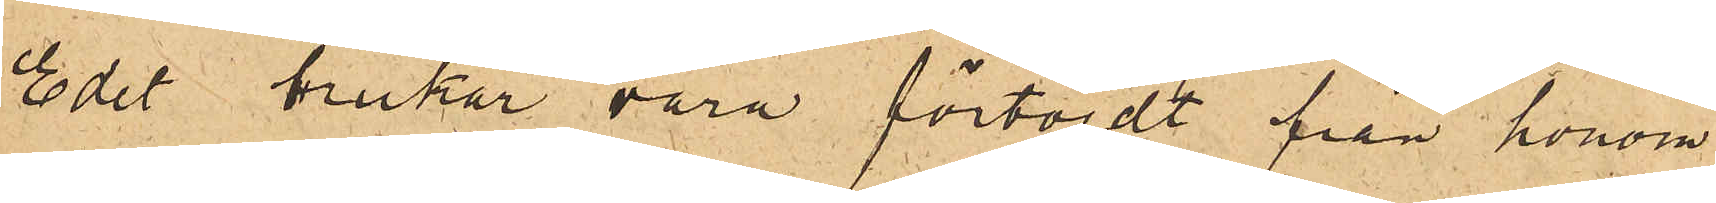Edet brukar vara förtöjdt från honom
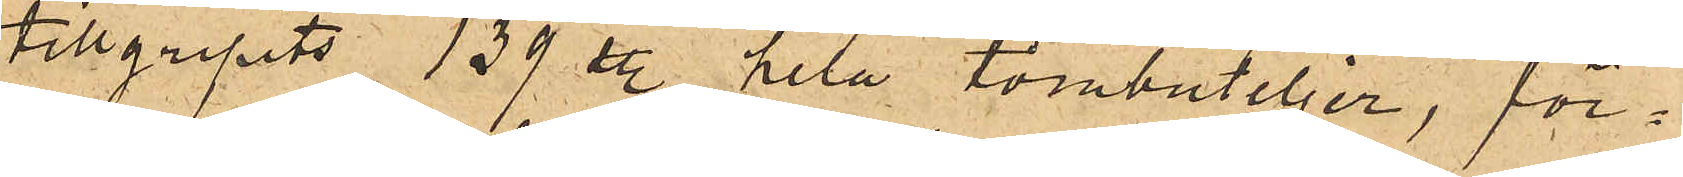tillgripits 139 st. hela tombuteljer, för¬
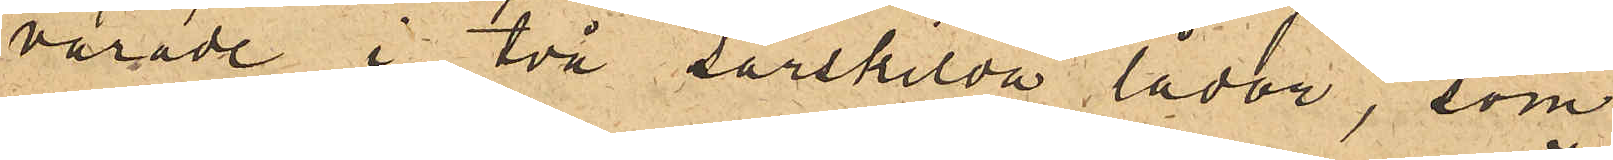varade i två särskilda lådor, som
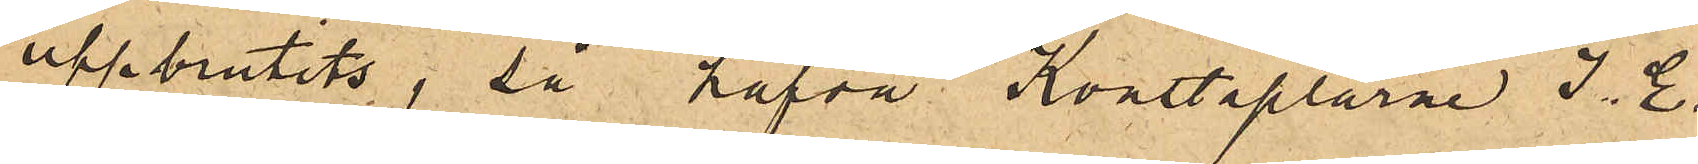uppbrutits, så hafva Konstaplarne J. E.
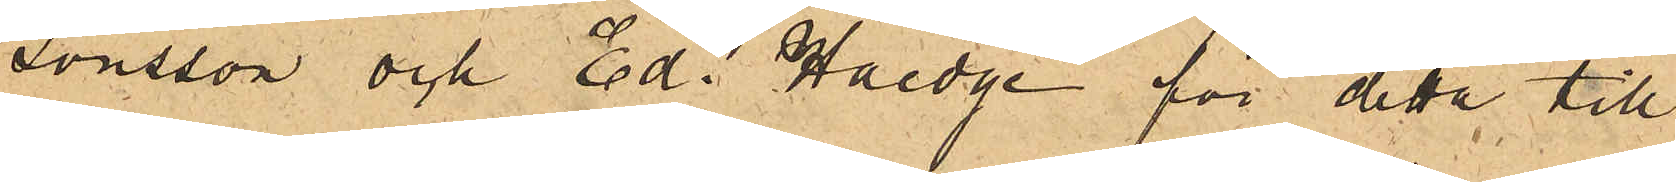Jönsson och Ed. Haedge för detta till¬
